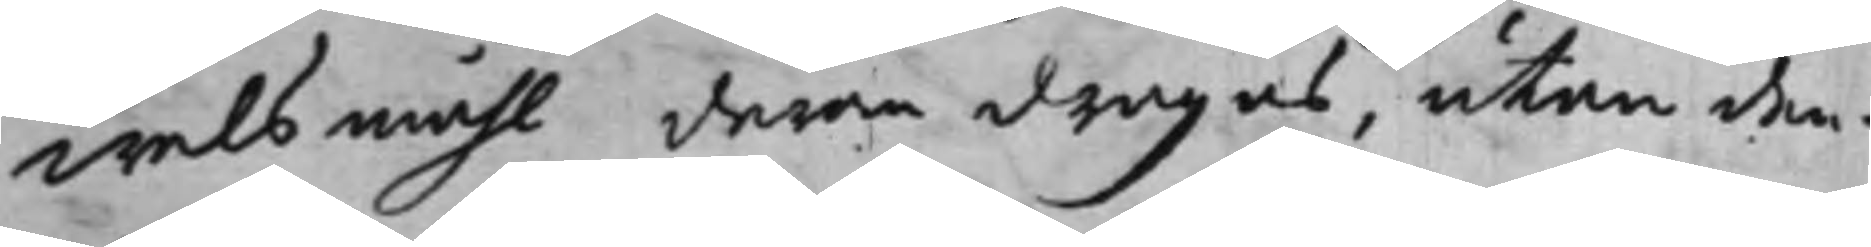welsmåhl derom dragas, utan den¬
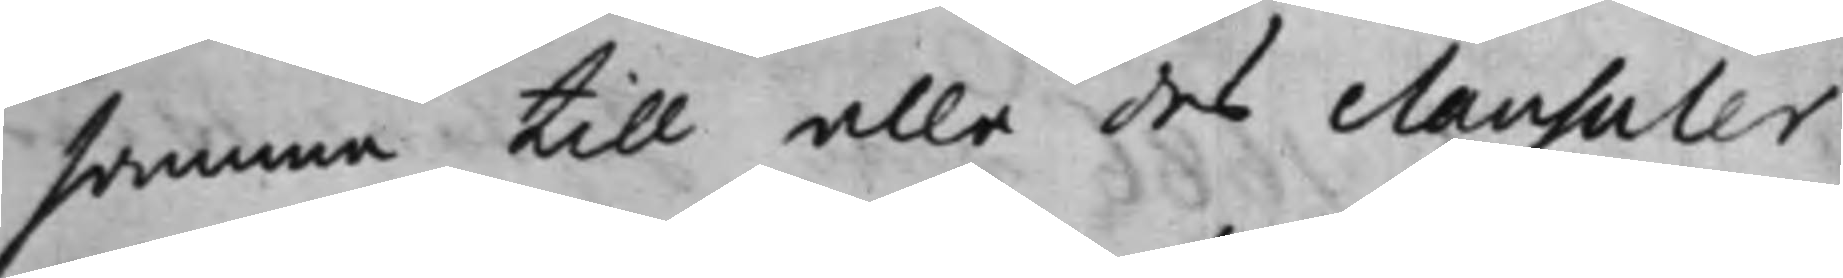samma till alla des clausuler
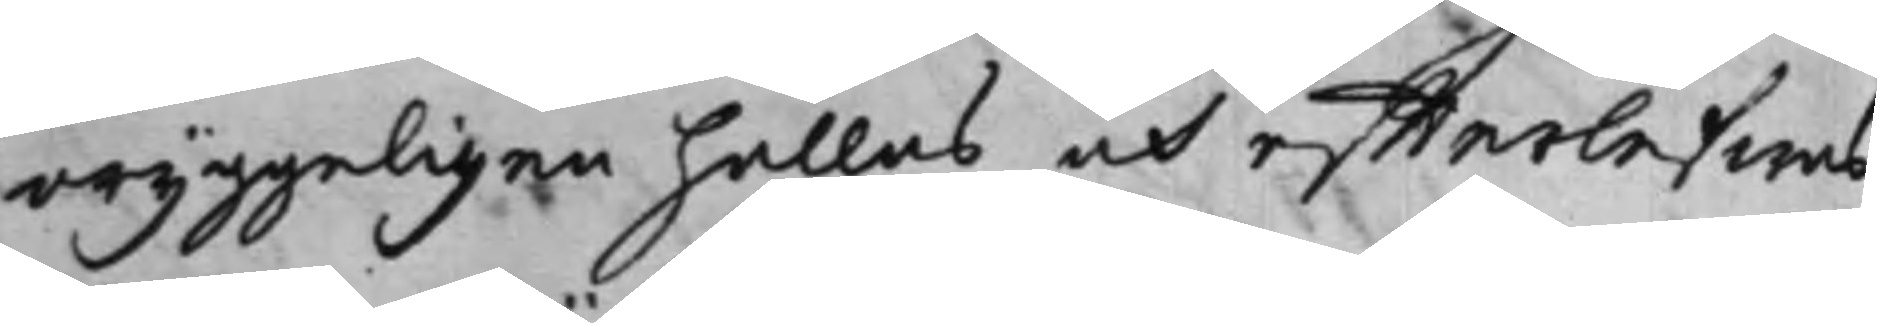oryggerligen hållas och effterlefwas,
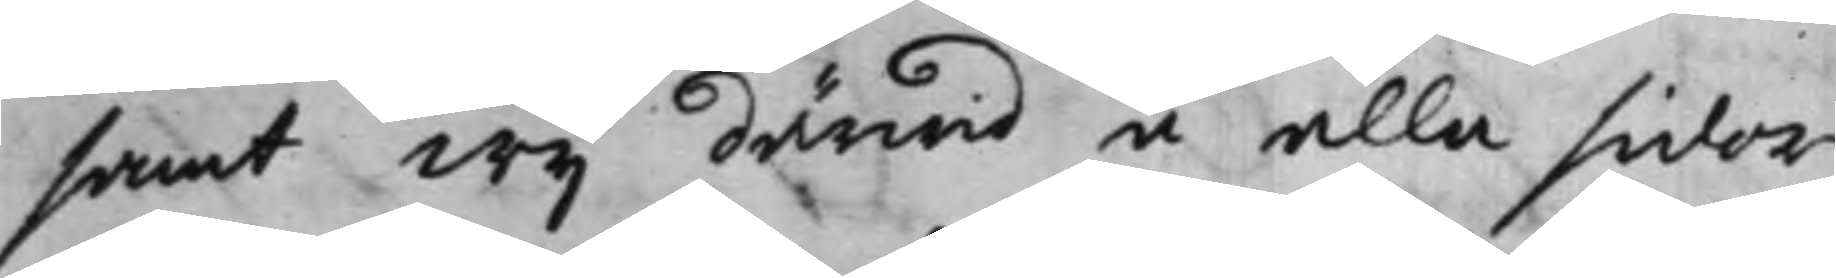samt Wij därwid å alla sidor
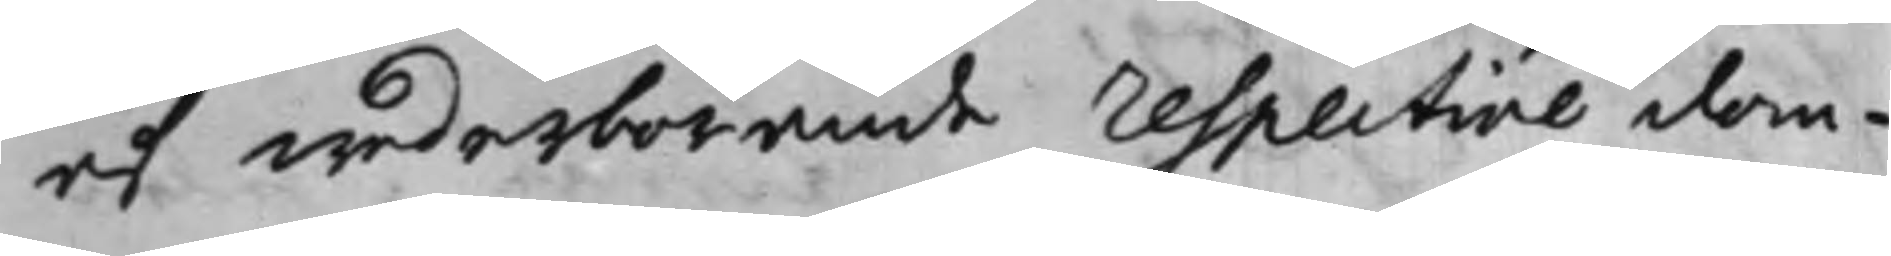af wederbörande respective dom¬
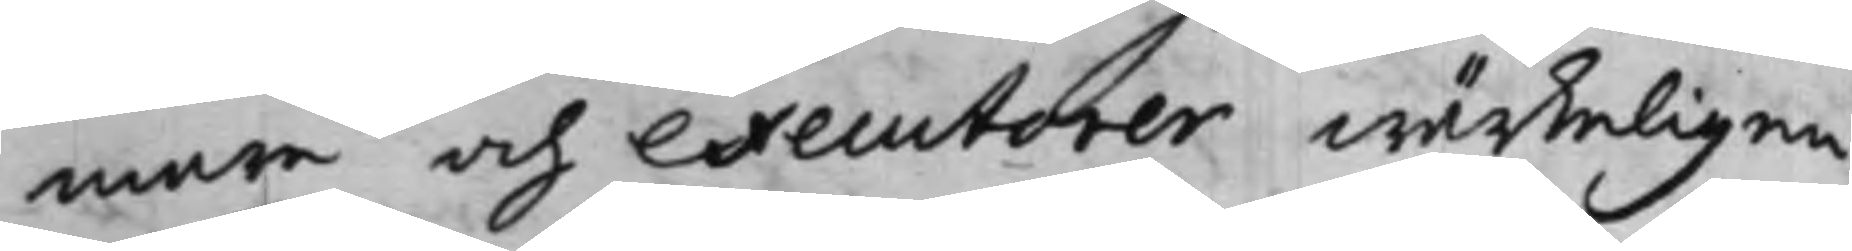mare och executorer wärkeligen
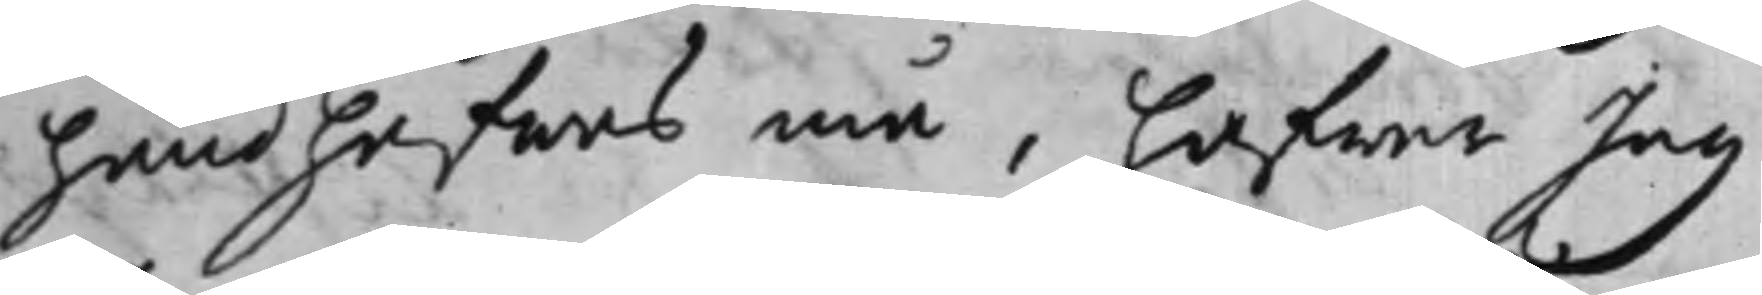handhafwas må, hafwer Jag,
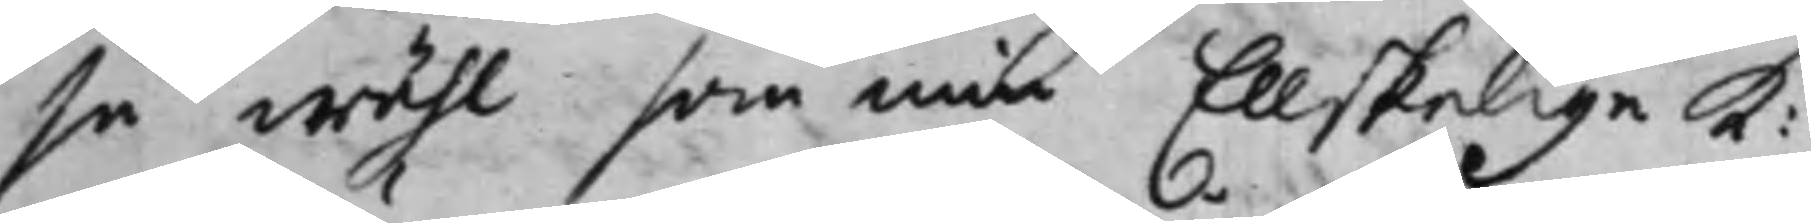så wähl som min Ellskelige K:
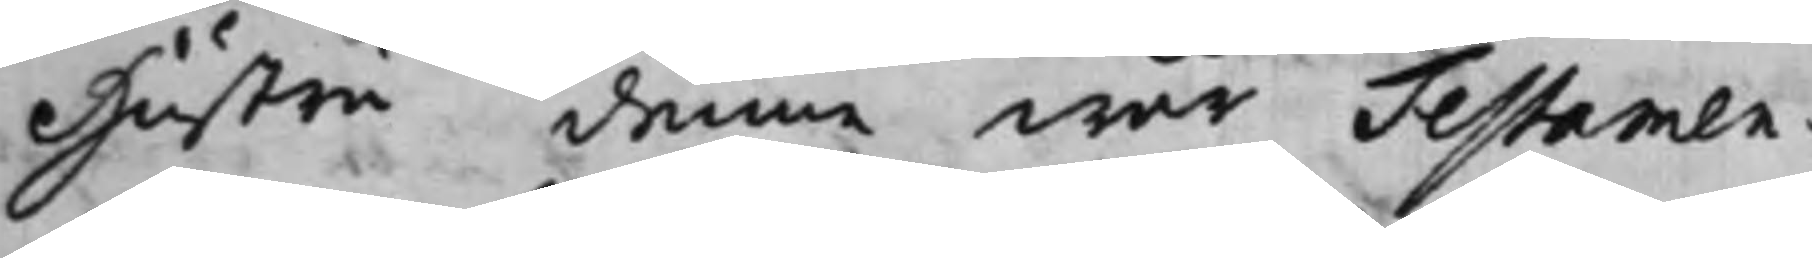Hustru denne wår Testamen¬
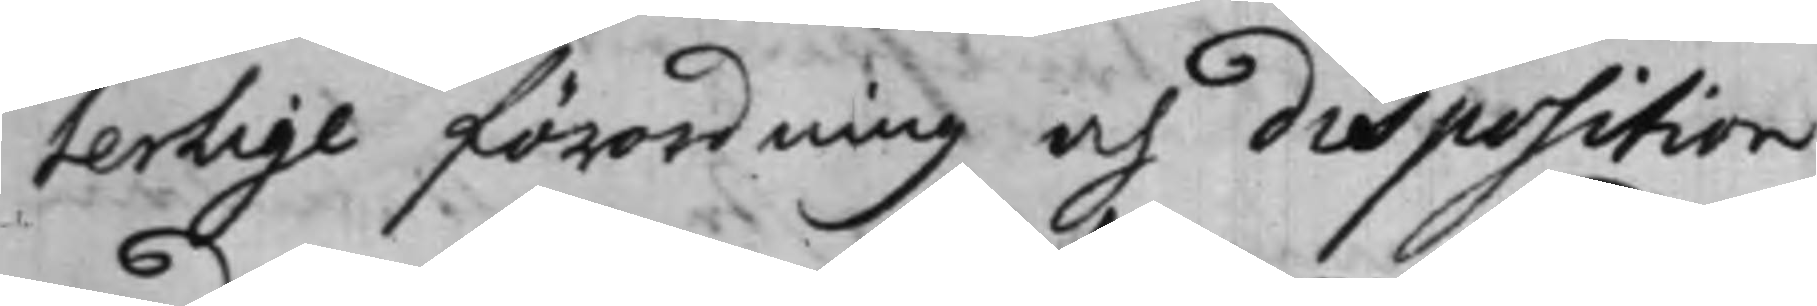terlige förordning och disposition
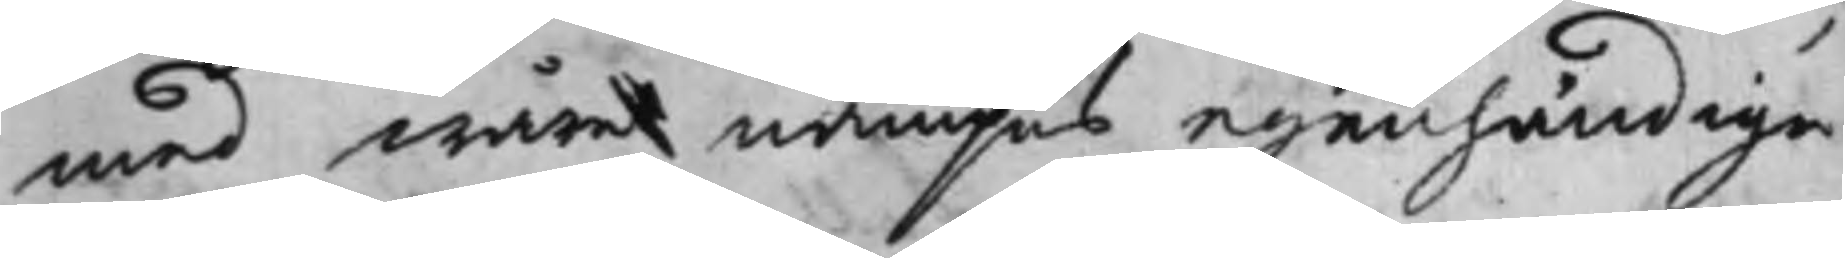med wåre nampns egenhändiga
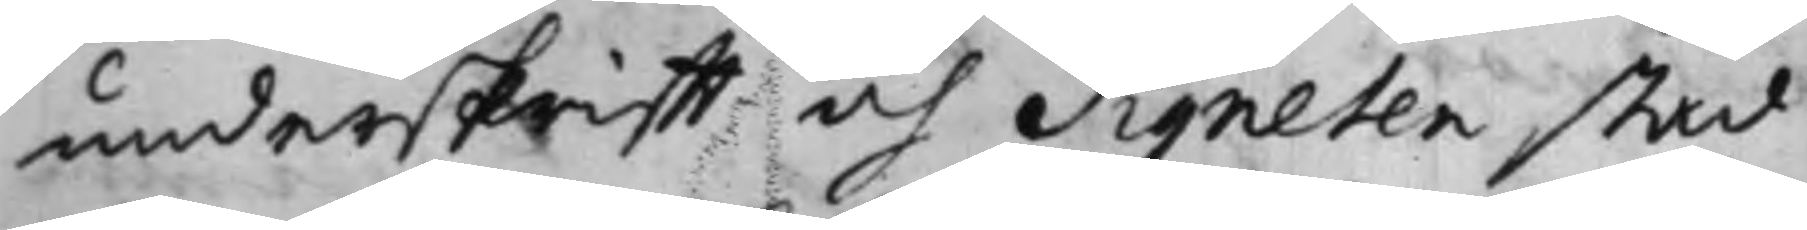underskrifft och Signeten stad¬
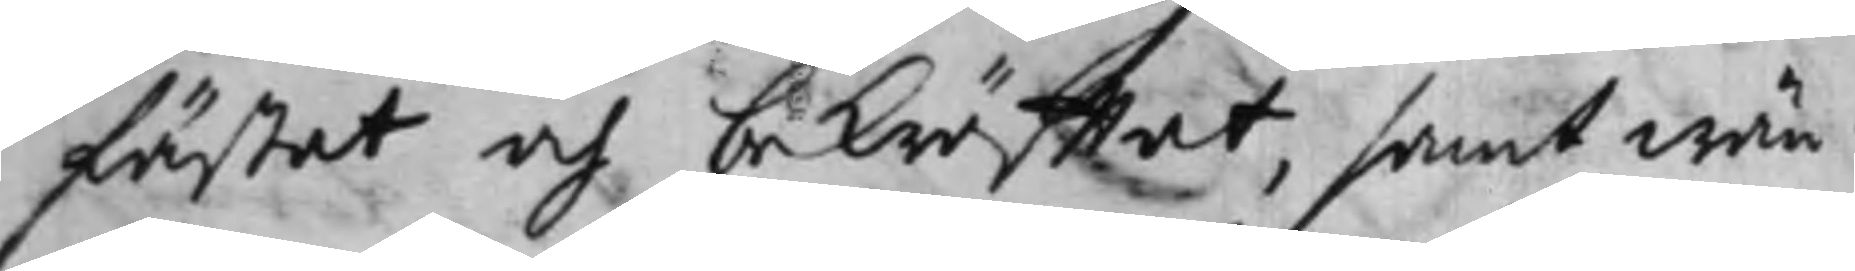fästat och bekräfftat, samt wän¬
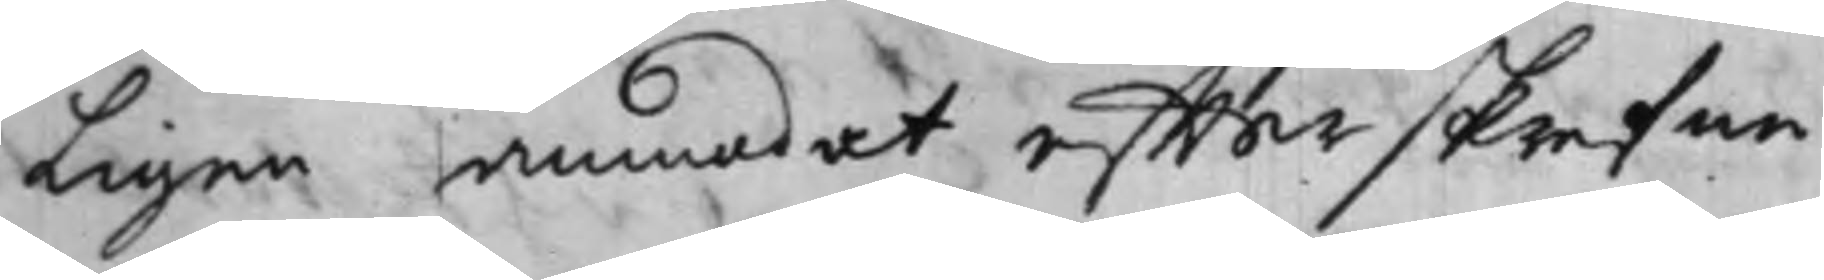ligen anmodat effterskrefne
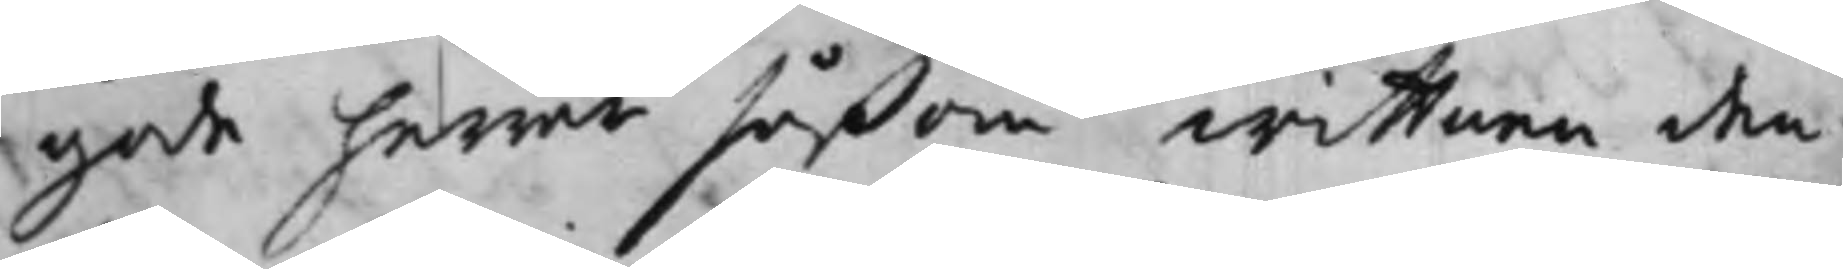gode herrar såßom wittnen den¬
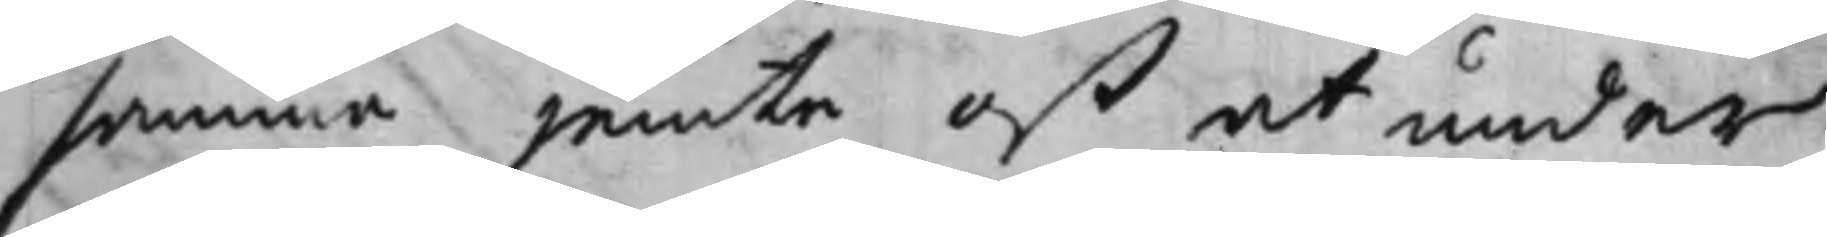samma jemte oß at under¬
